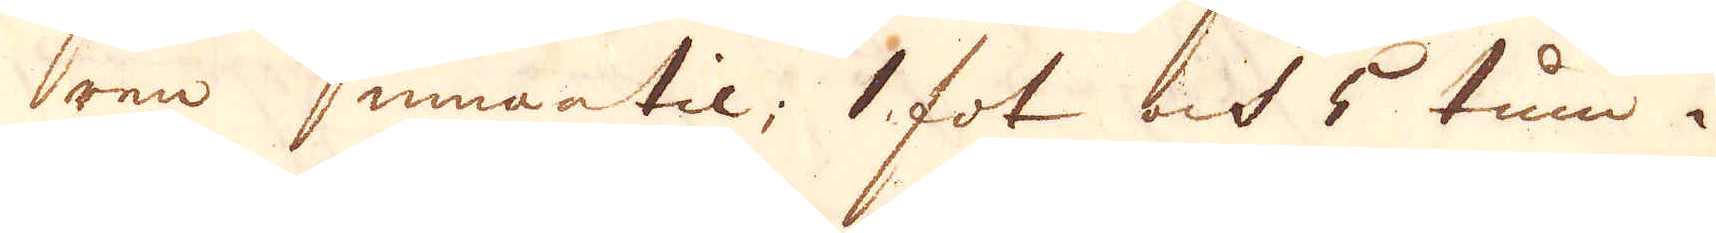ren innantil; 1 fot och 5 tum i
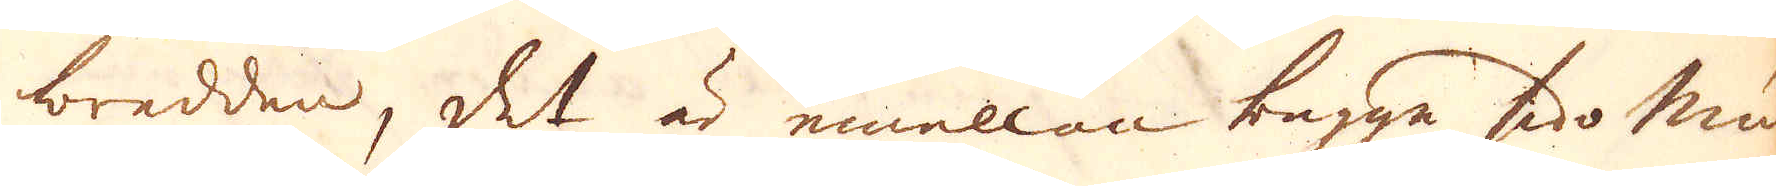bredden, det är emellan begge sido mu-
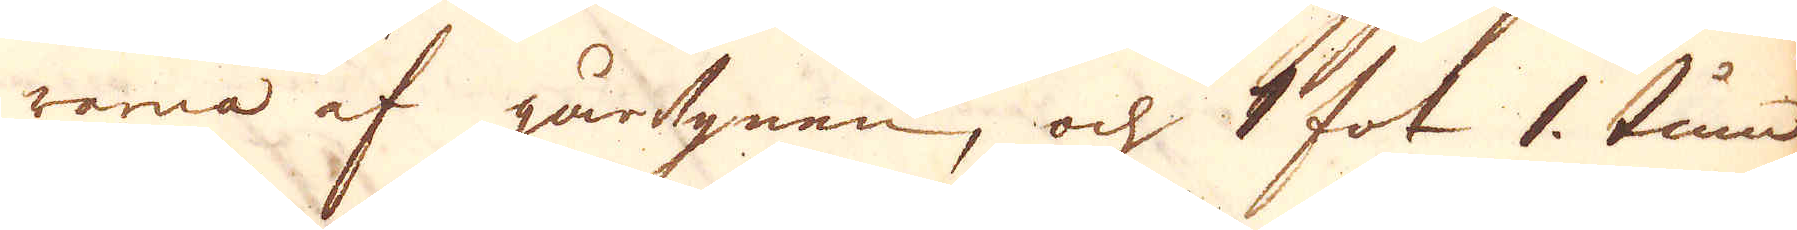rarna af gårugnen, och 1 fot 1 tum
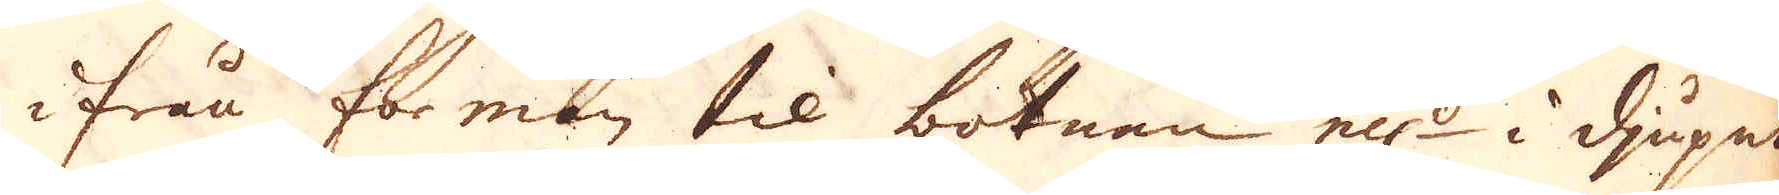ifrån formen til botnan el:r i djupet
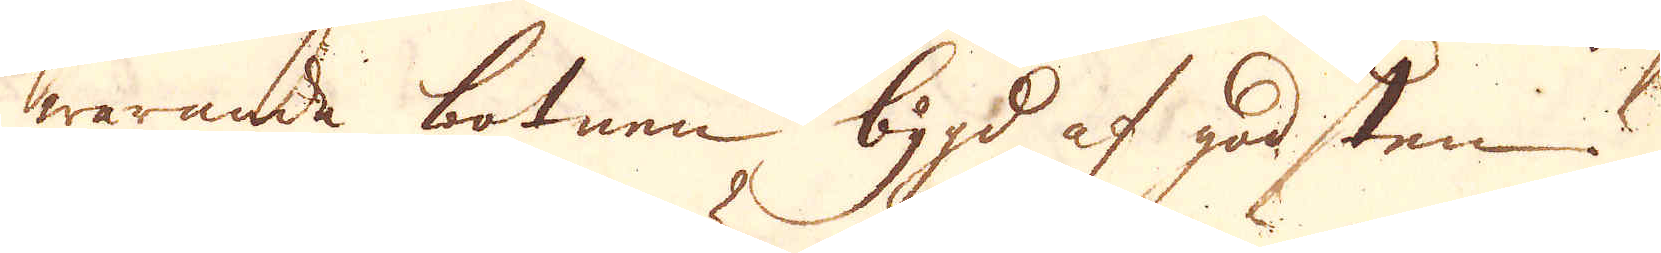warande botnen bygd af god sten. 
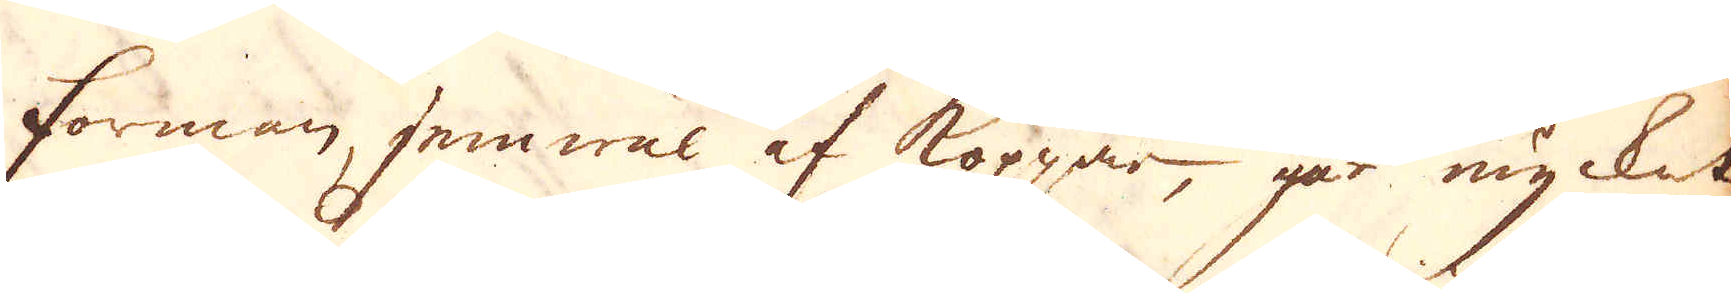Forman, jemwäl af Koppar, går mycket
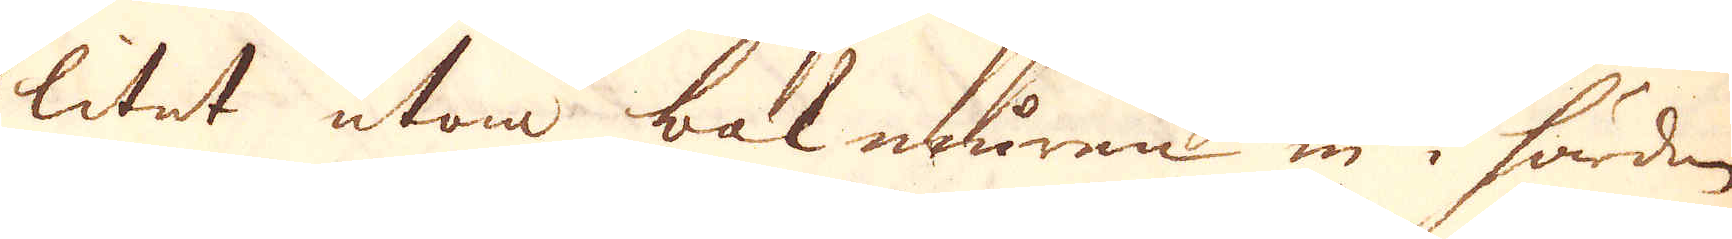litet utom bakmuren in i härden,
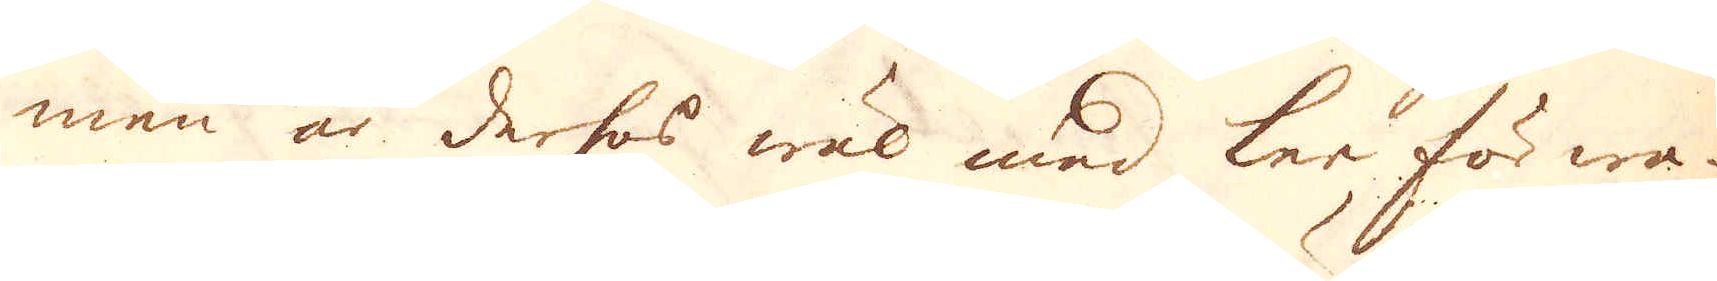men är derhos wäl med ler förwa-
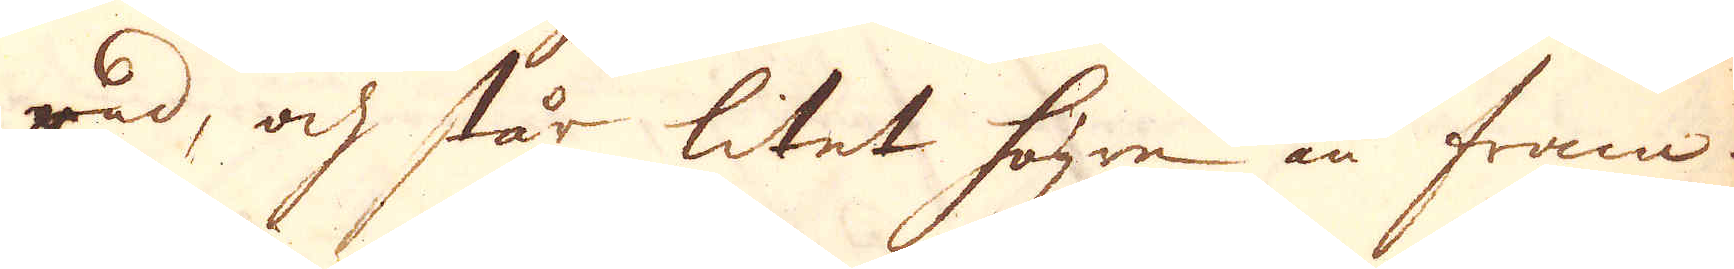rad, och står litet högre än fram-
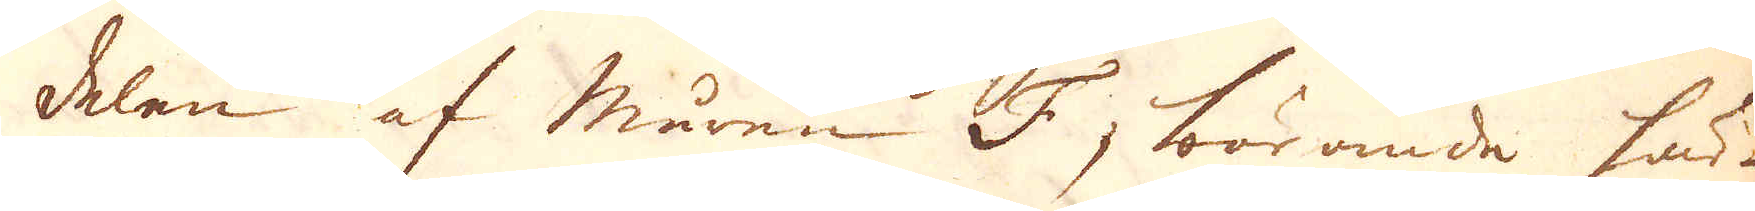delen af muren F; börande här-
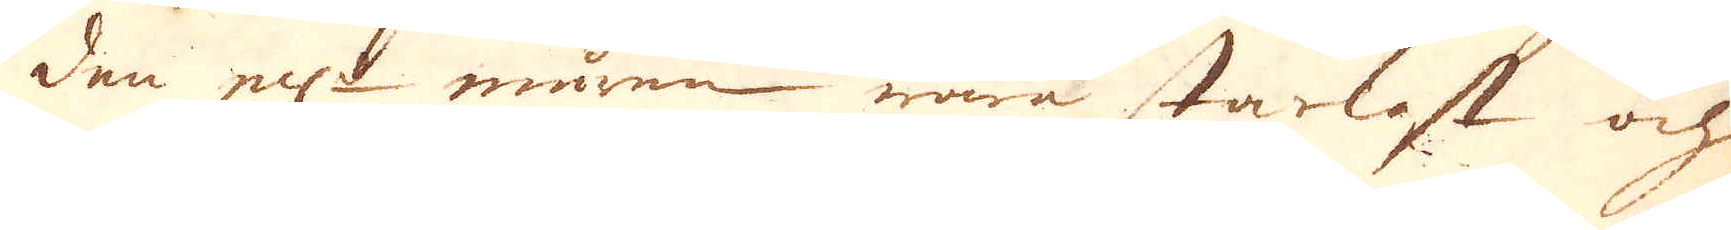den el:r muren wara starkast och
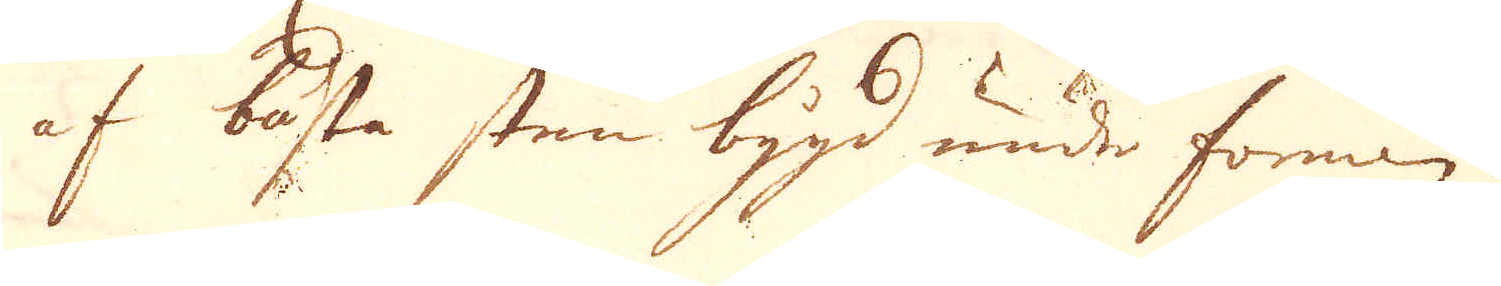af bästa sten bygd under forman.
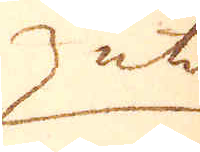uti
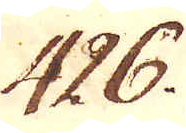426.
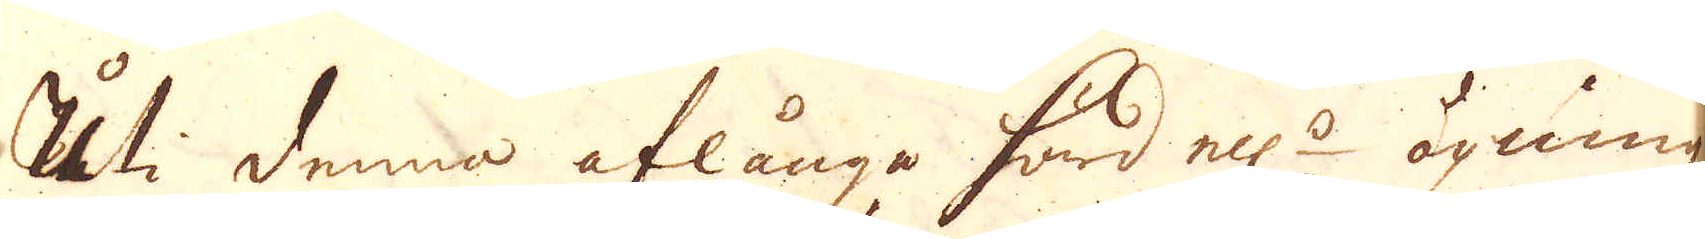Uti denna aflånga härd el:r öpning
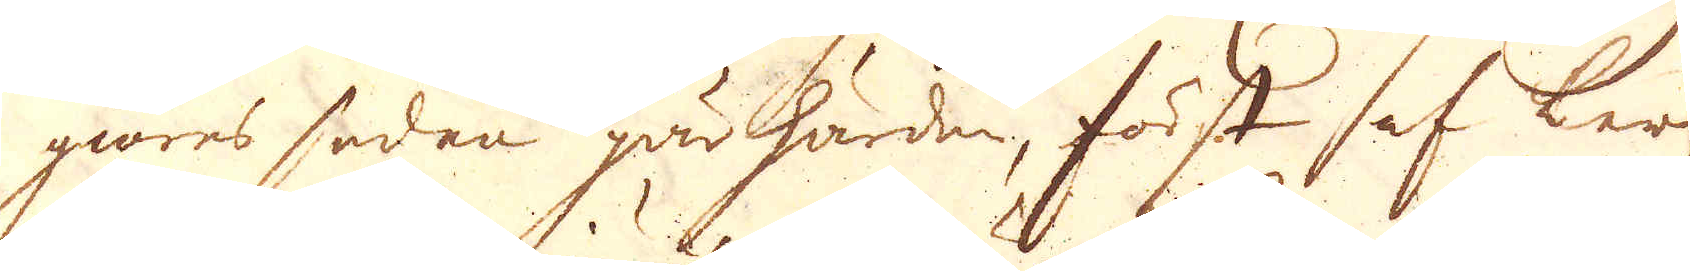giöres sedan gårhärden, först af ler,
